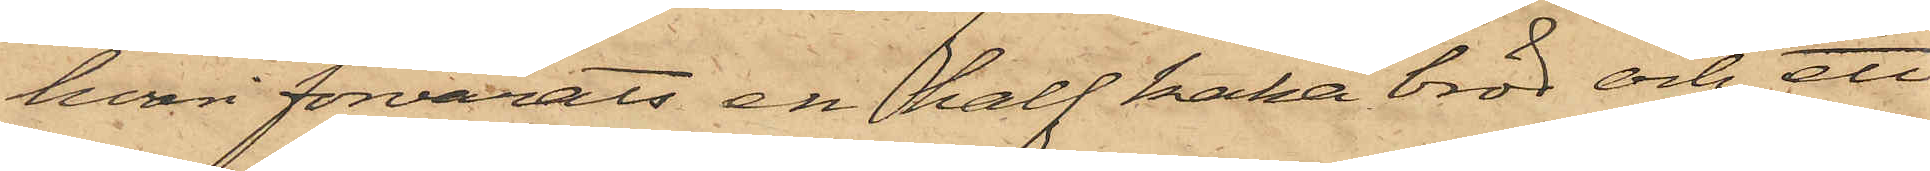hvari förvarats en half kaka bröd och ett
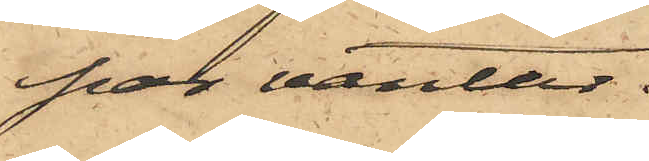par vantar.
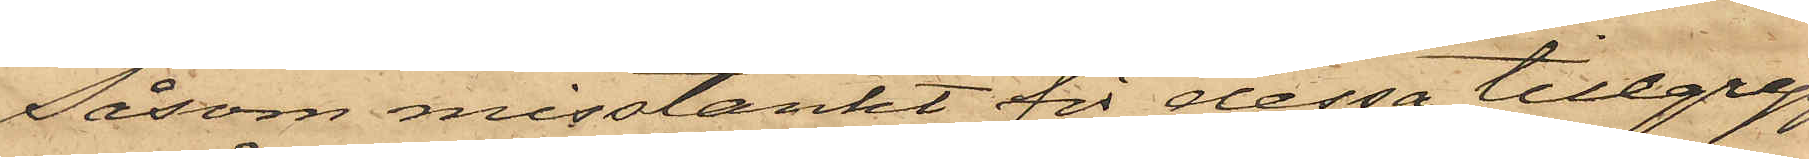Såsom misstänkt för dessa tillgrepp
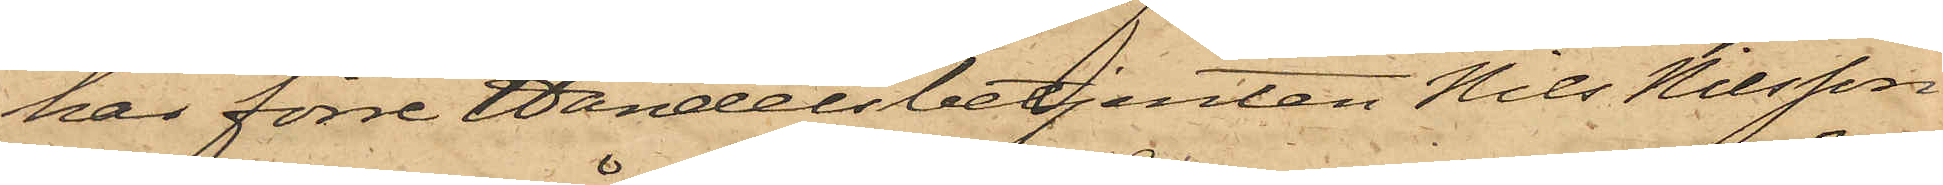har förre Handelsbetjenten Nils Nilsson
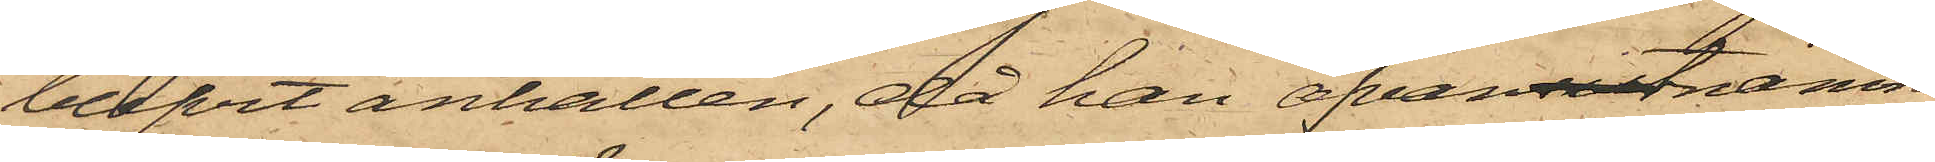blifvit anhållen, då han ofvansistnämn¬
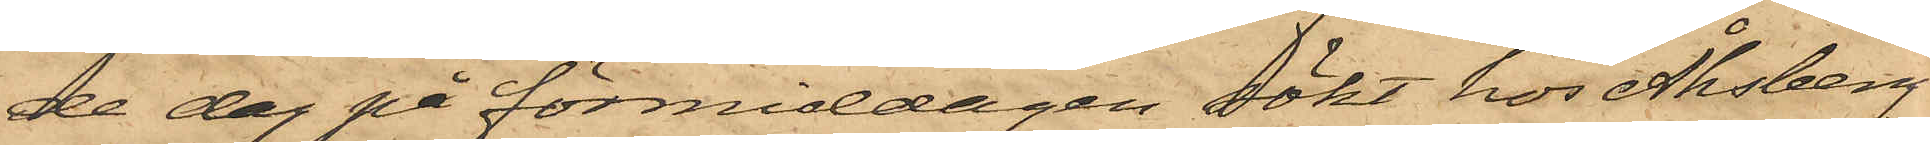de dag på förmiddagen sökt hos Åhsberg
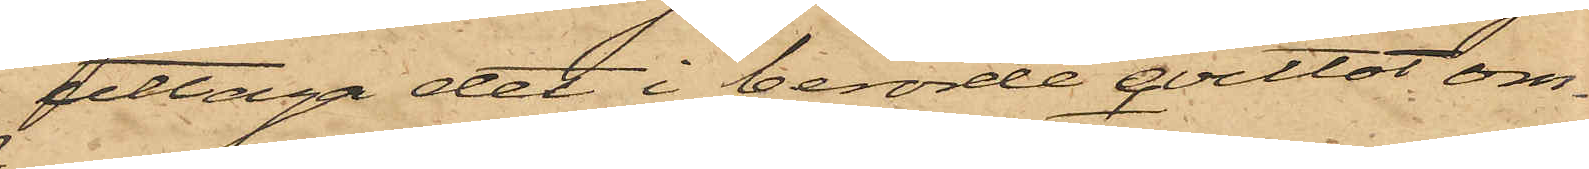uttaga det i berörde qvittot om¬
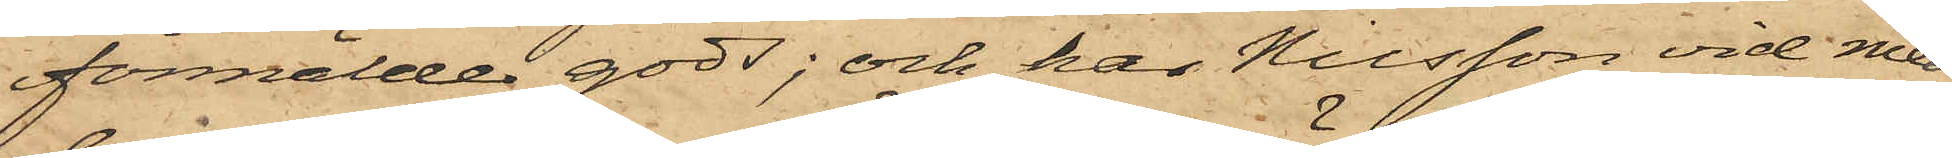förmälde gods; och har Nilsson vid med
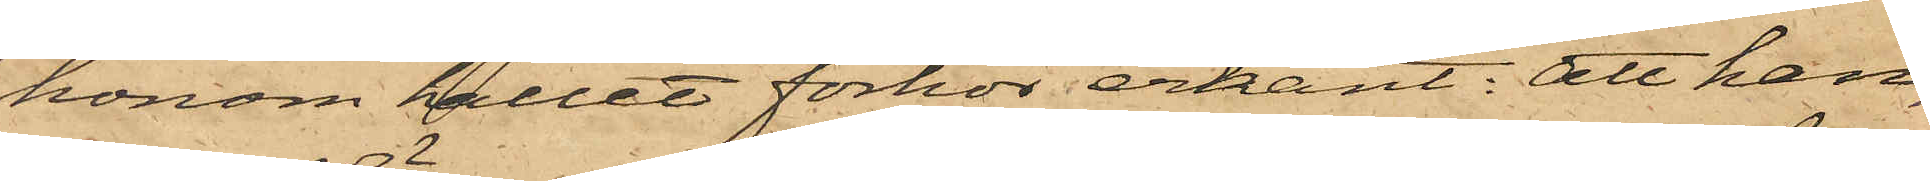honom hållet förhör erkänt: att han,
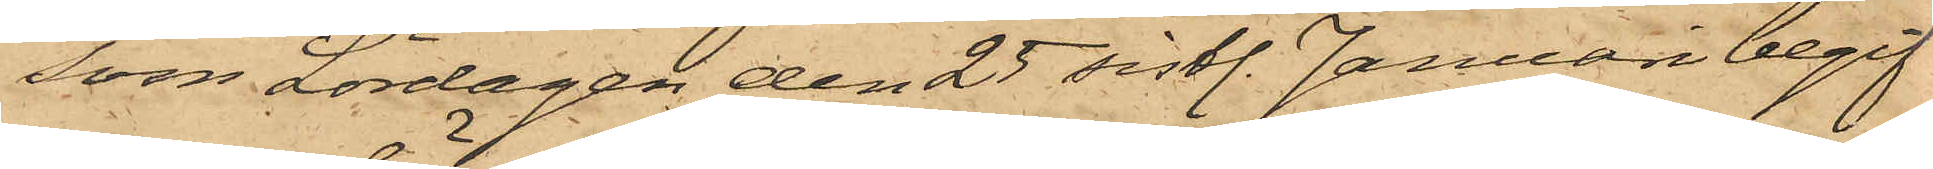som Lördagen den 25 sistl. Januari begif¬
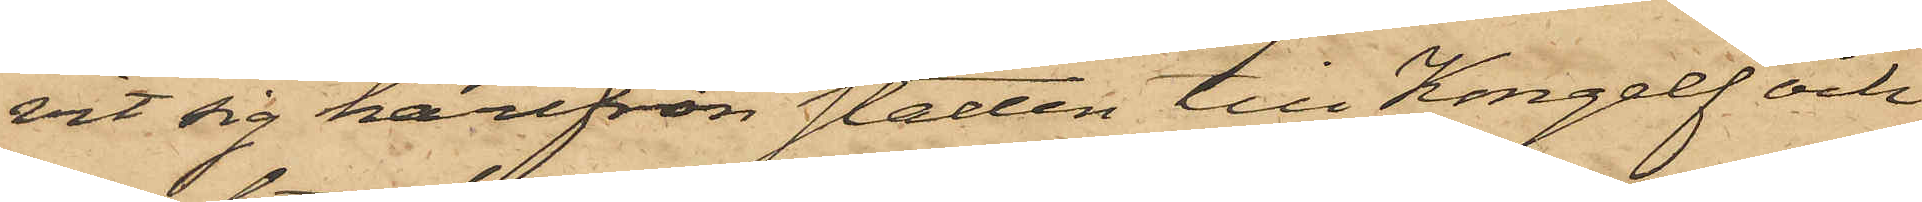vit sig härifrån Staden till Kongelf och
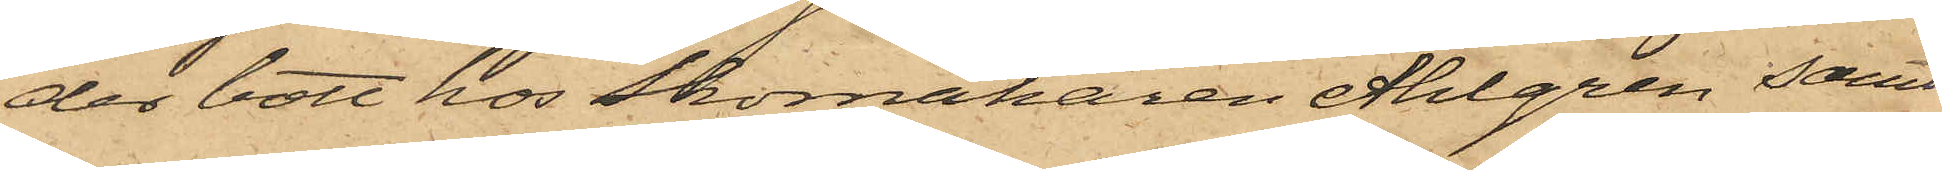der bott hos Skomakaren Ahlgren samt
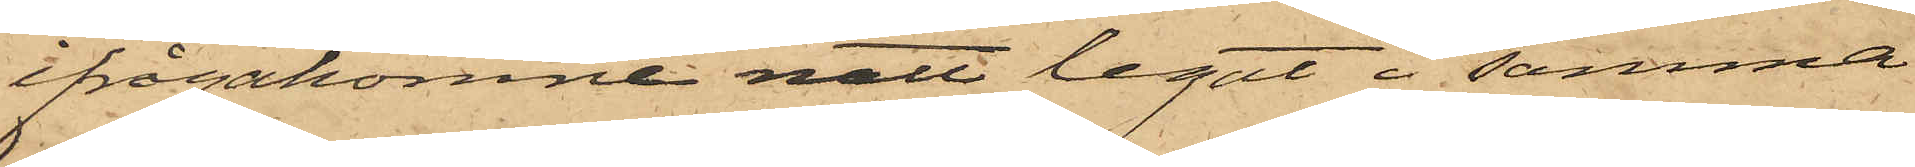ifrågakomne natt legat i samma
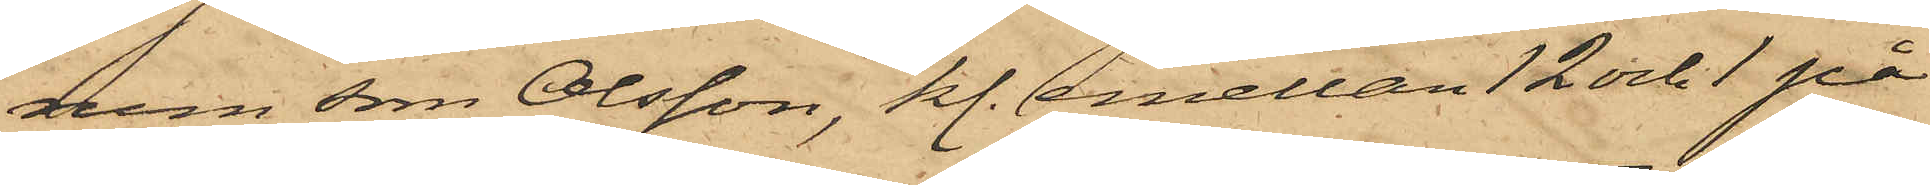rum som Olsson, kl. emellan 12 och 1 på
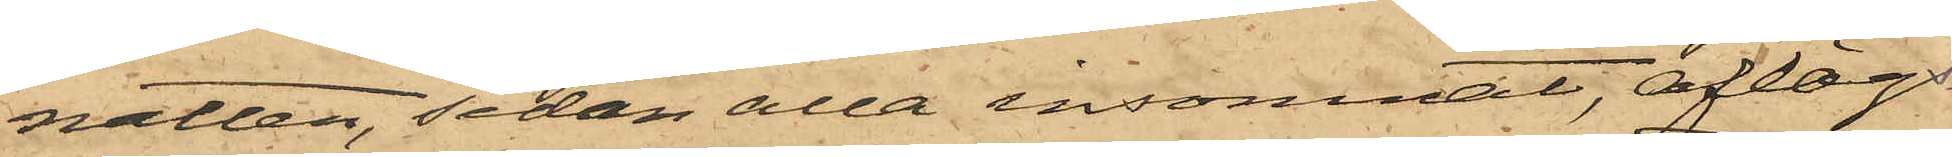natten, sedan alla insomnat, aflägs¬
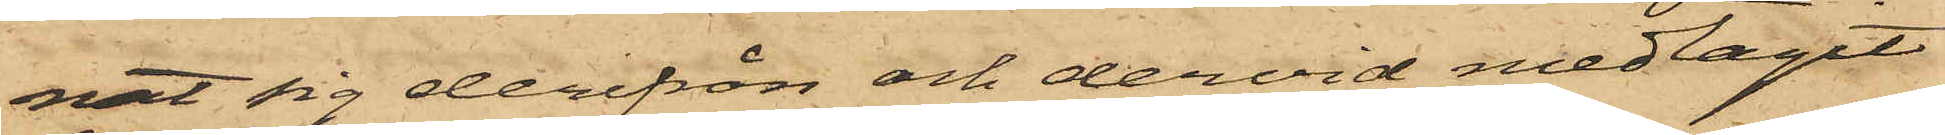nat sig derifrån och dervid medtagit
